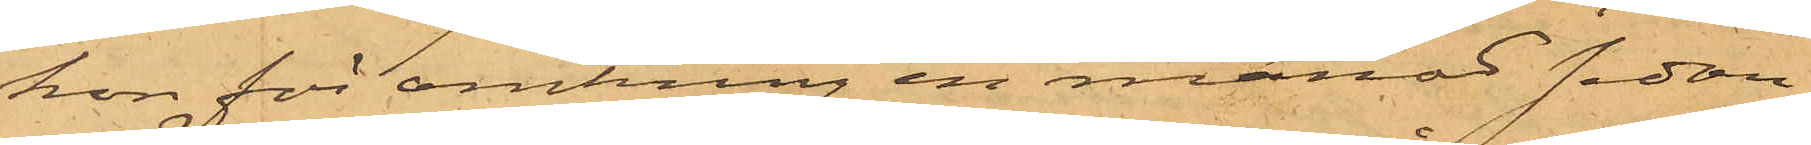hon för omkring en månad sedan
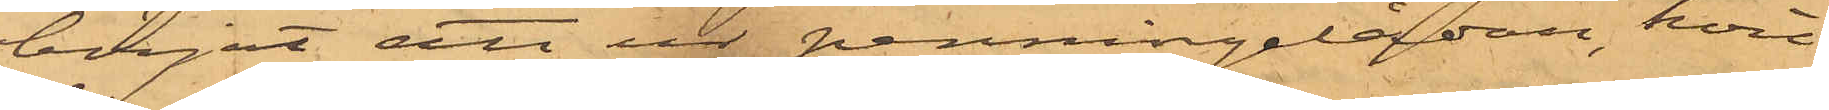börjat att ur penningelådan, hvil¬
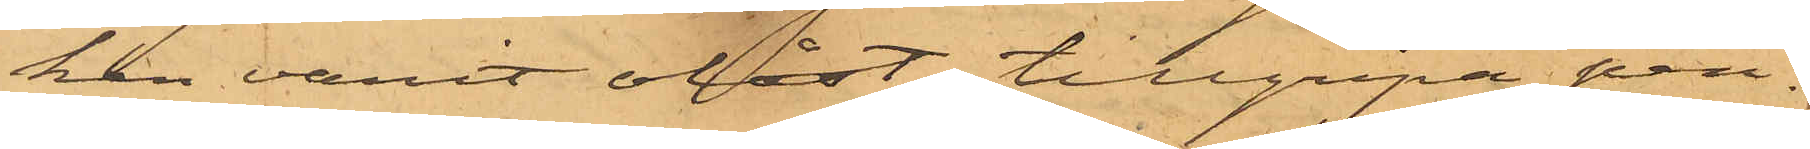ken varit olåst, tillgripa pen¬
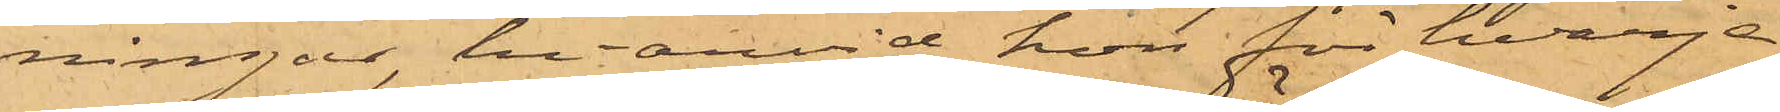ningar, hvarvid hon för hvarje
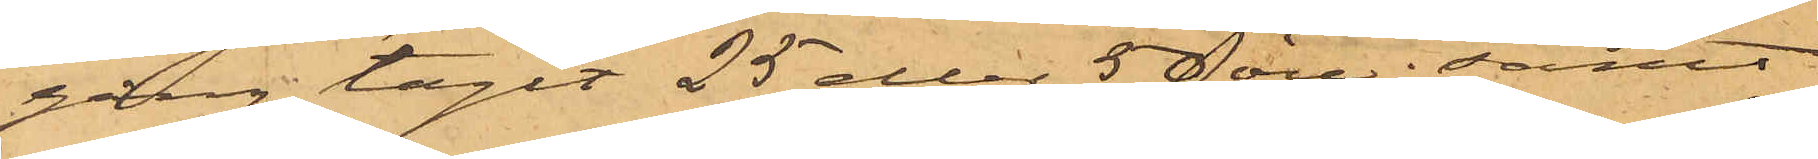gång tagit 25 eller 50 öre; samt
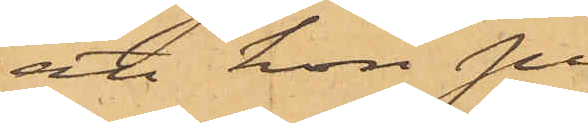att hon på
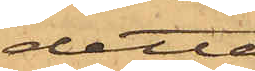detta
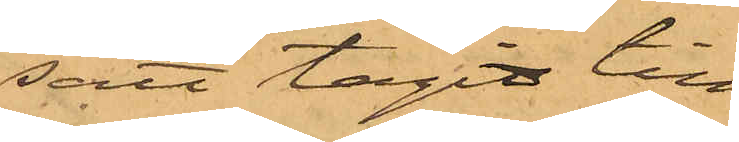sätt tagit till¬
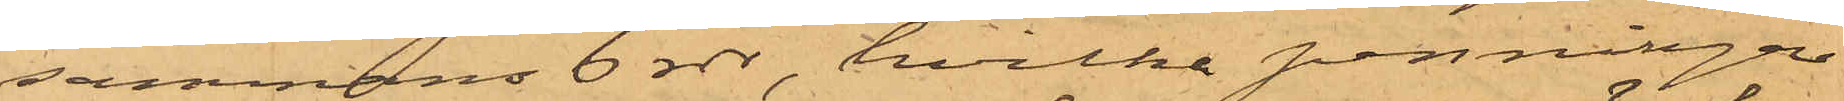sammans 6 rdr, hvilka penningar
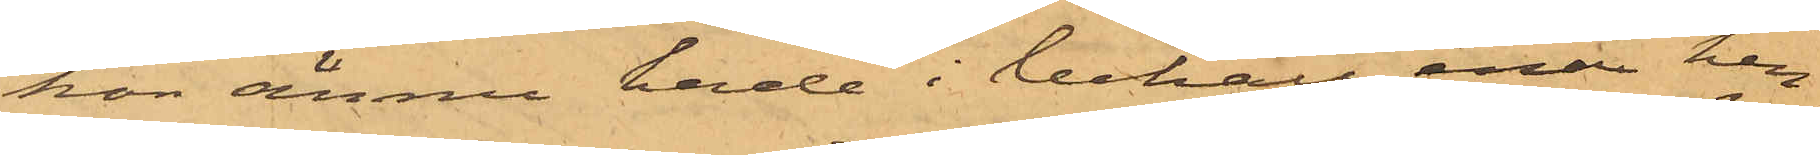hon ännu hade i behåll, enär hen¬
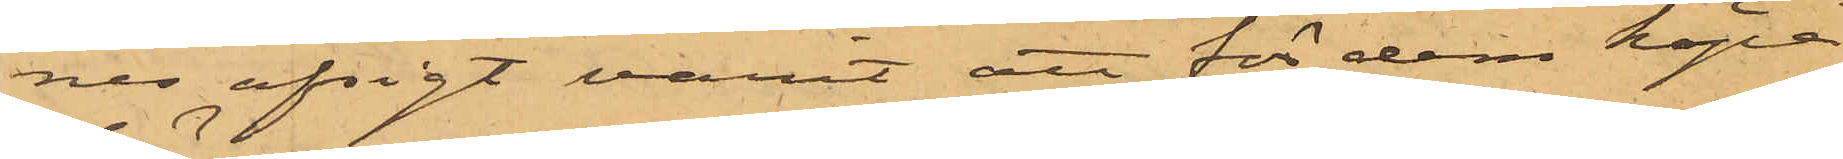nes afsigt varit att för dem köpa
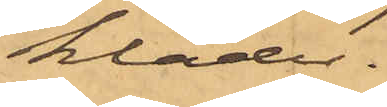kläder.
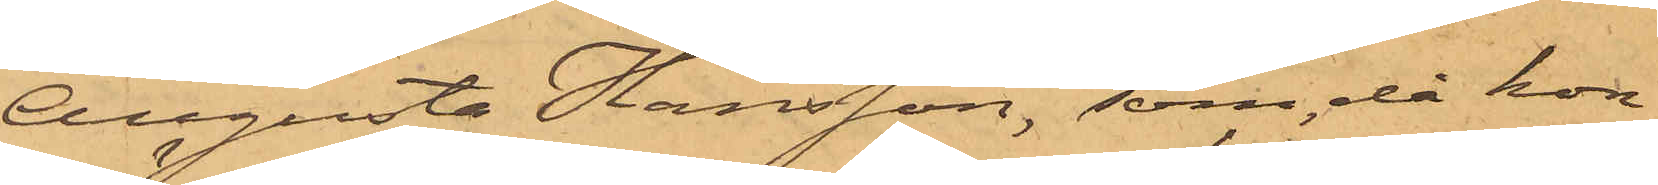Augusta Hansson, som då hon
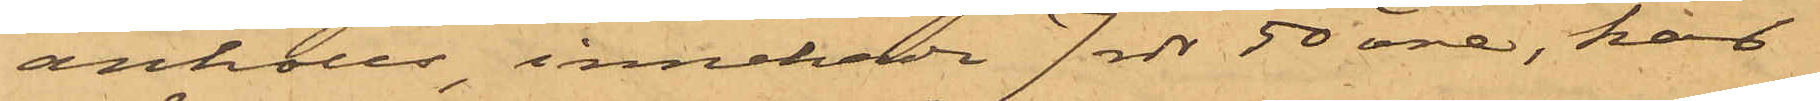anhölls innehade 7 rdr 50 öre, har
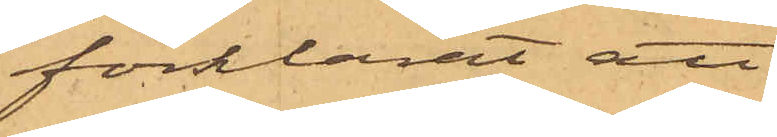förklarat att
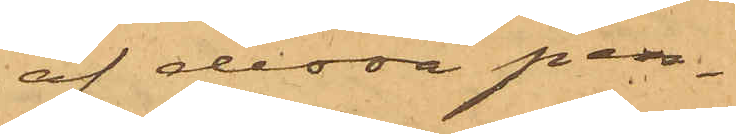af dessa pen¬
